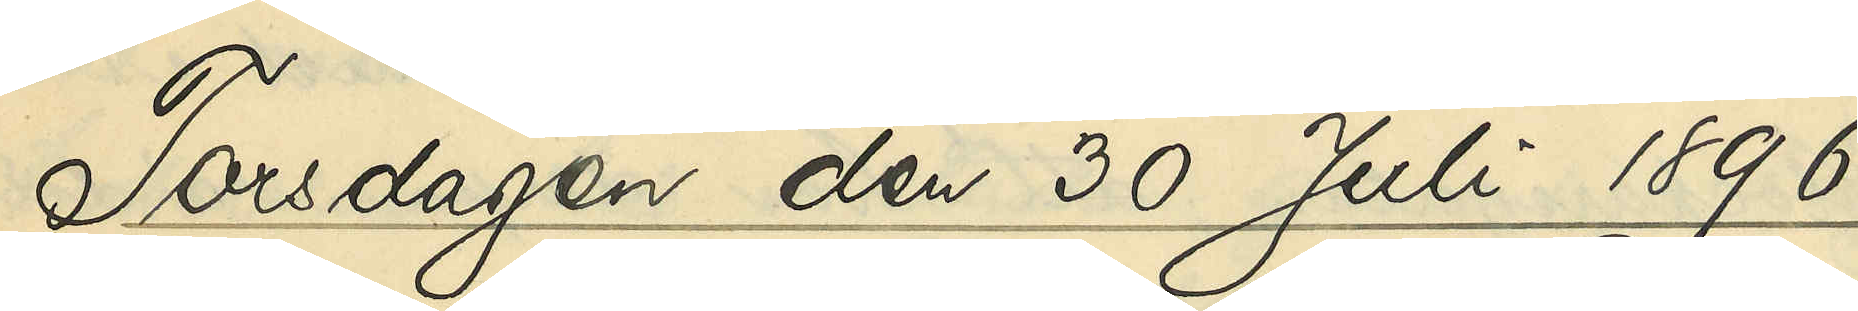Torsdagen den 30 Juli 1896
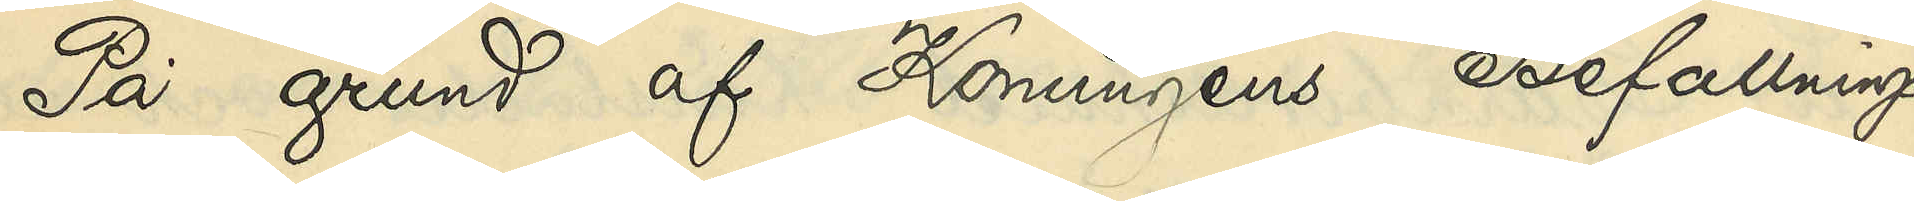På grund af Konungens Befallnings¬
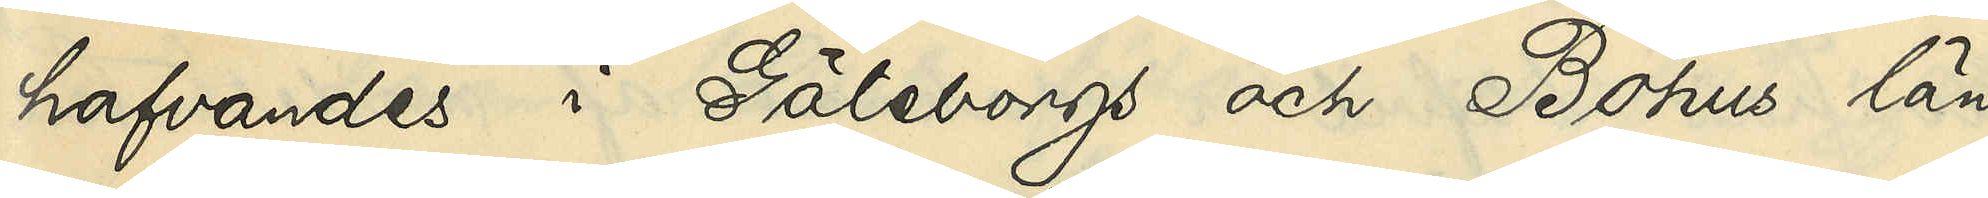hafvandes i Göteborgs och Bohus län
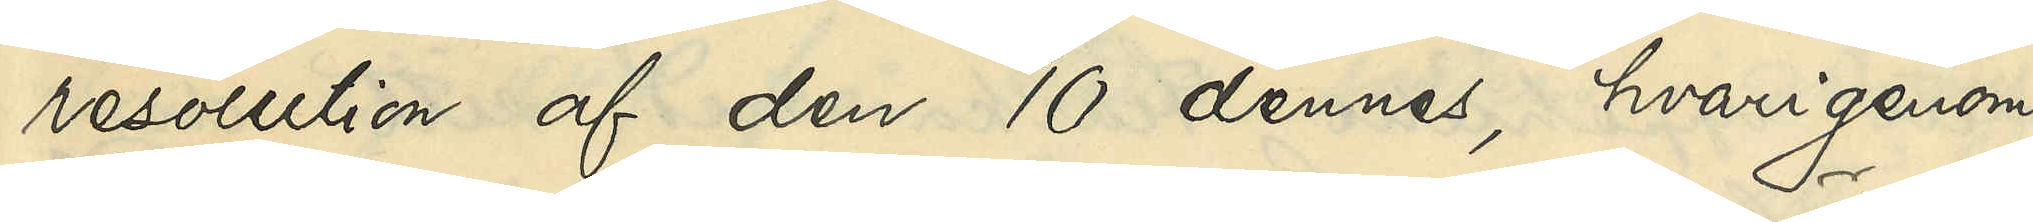resolution af den 10 dennes, hvarigenom
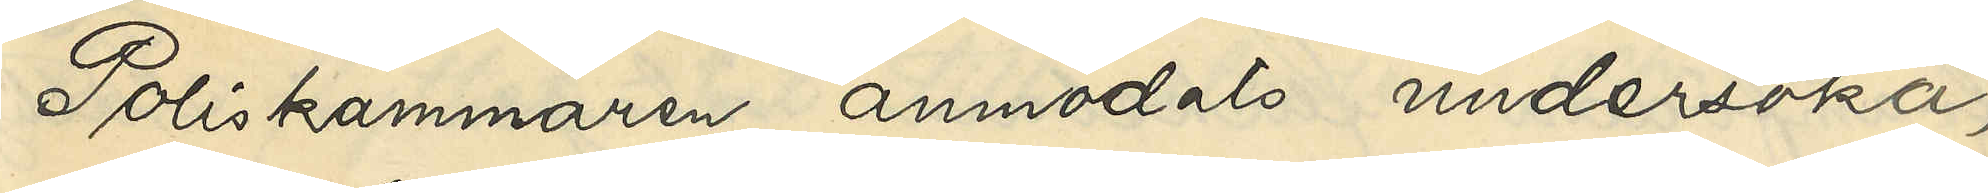Poliskammaren anmodats undersöka,
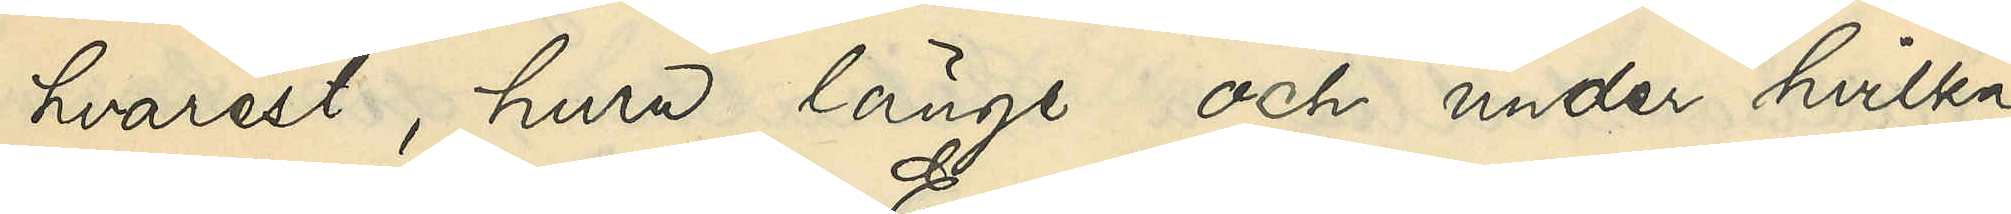hvarest, huru länge och under hvilka
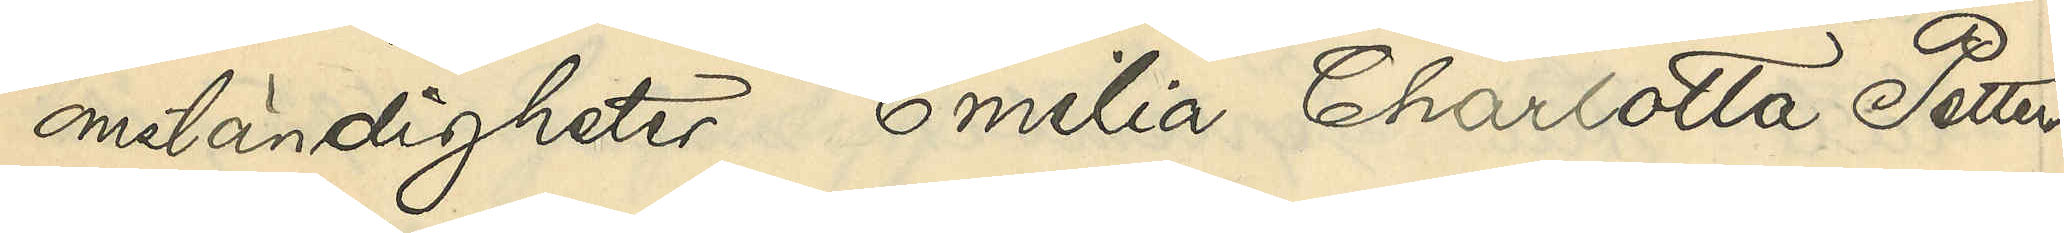omständigheter Emilia Charlotta Petters¬
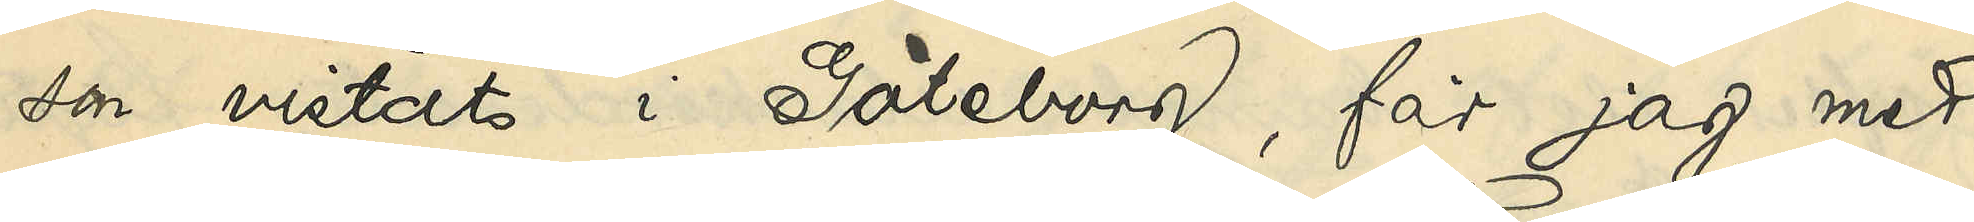son vistats i Göteborg, får jag med
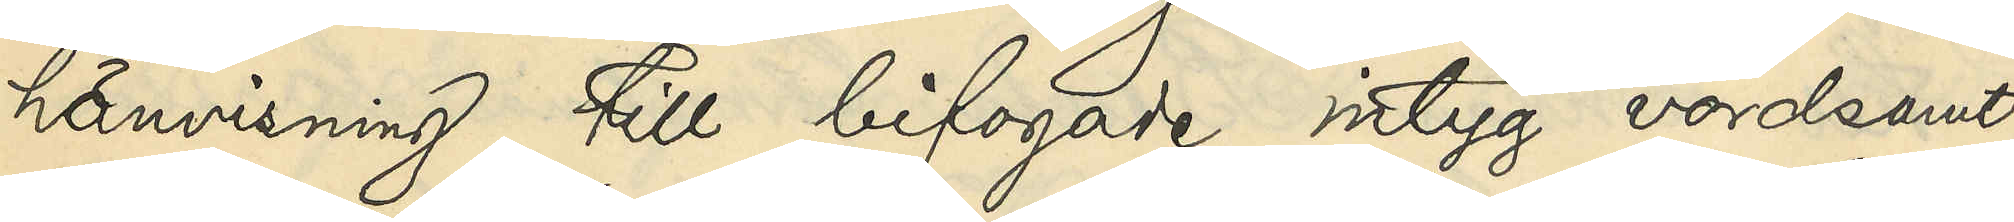hänvisning till bifogade intyg vördsamt
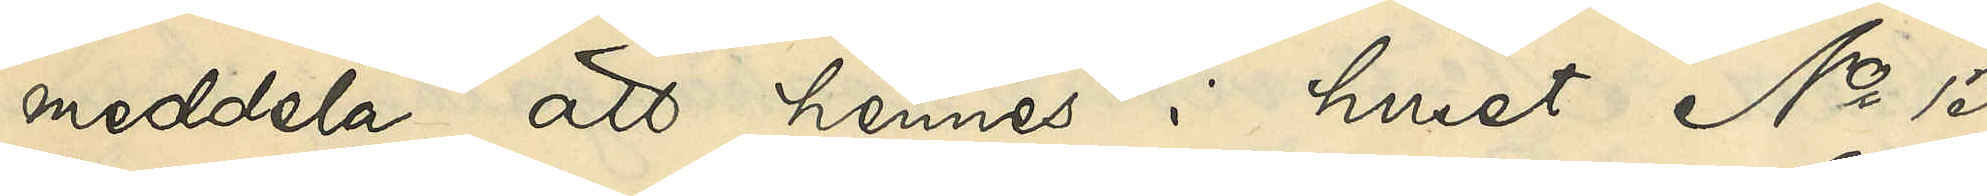meddela, att hennes i huset No 13
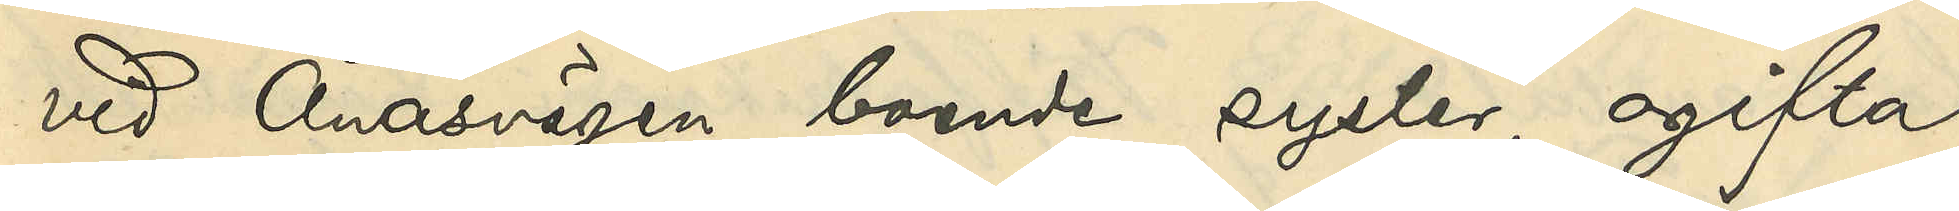vid Ånäsvägen boende syster, ogifta
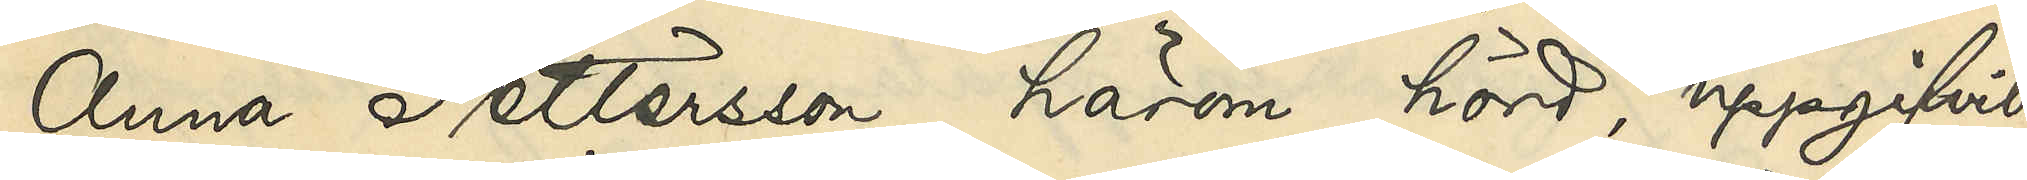Anna Pettersson, härom hörd, uppgifvit:
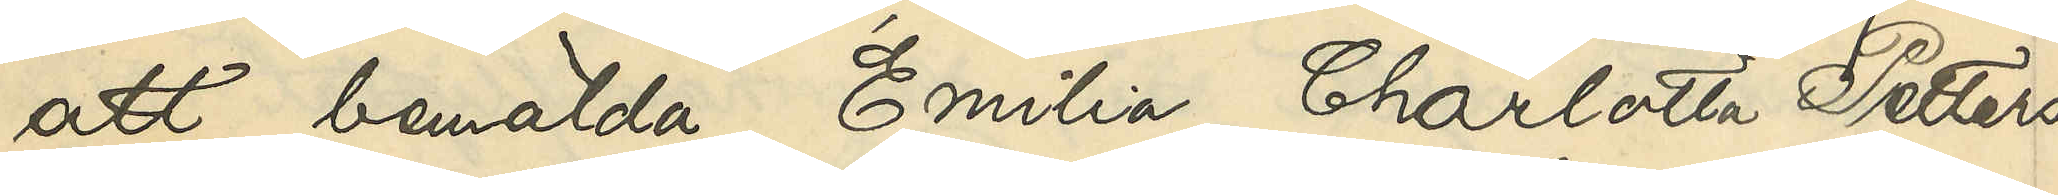att bemälda Emilia Charlotta Petters¬
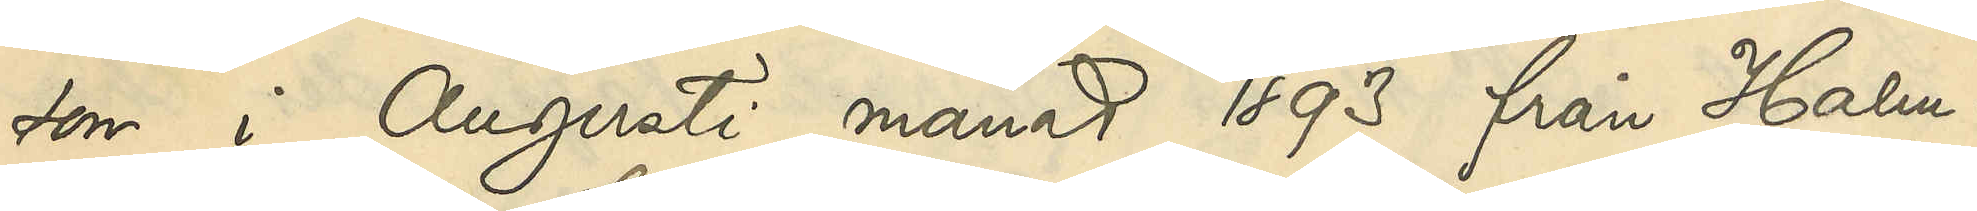son i Augusti månad 1893 från Halm¬
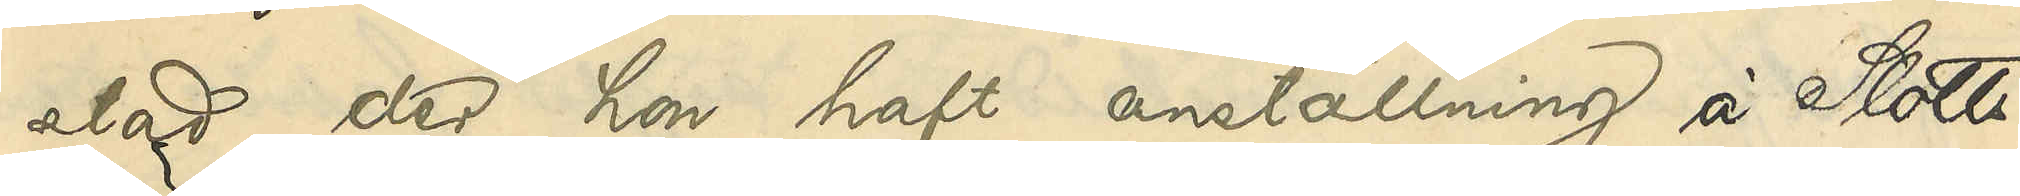stad, der hon haft anställning å Slotts¬
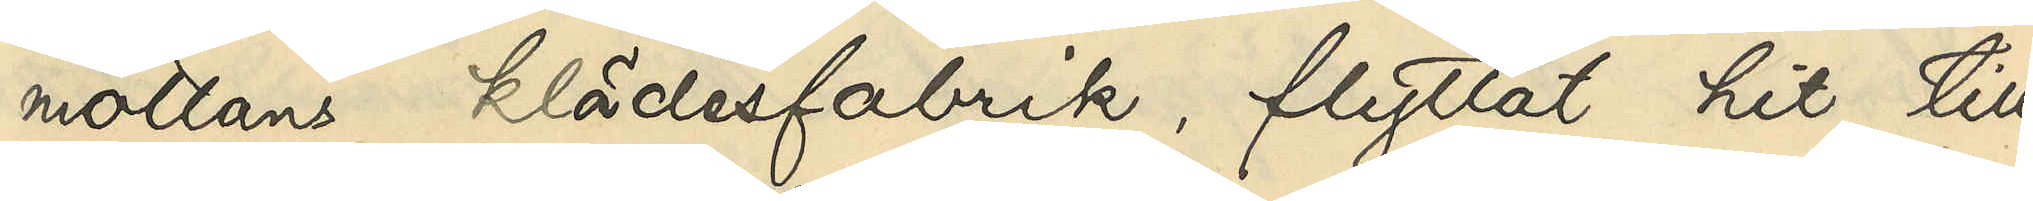mollans klädesfabrik, flyttat hit till
